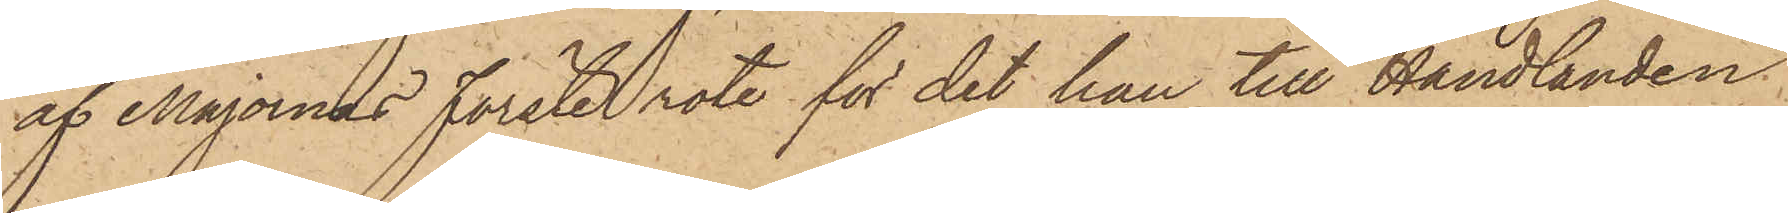af Majornas förste rote för det han till Handlanden
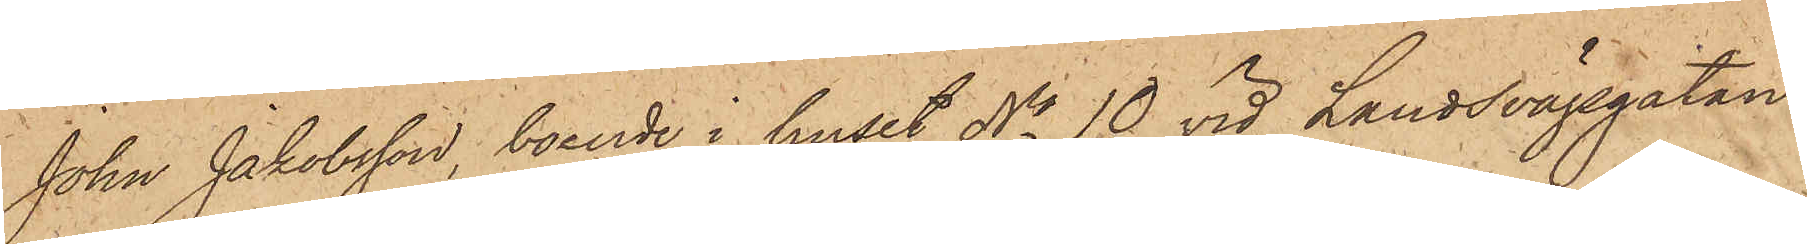John Jakobsson, boende i huset No 10 vid Landsvägsgatan
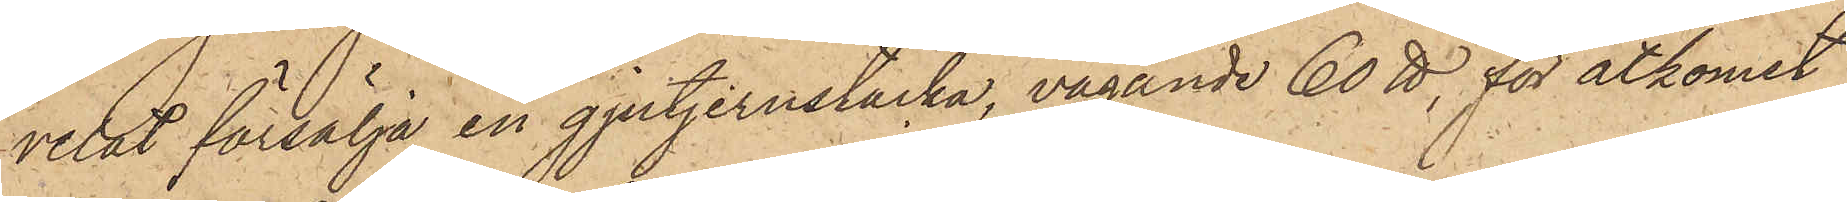velat försälja en gjutjernstacka, vägande 60 ℔, för åtkomst
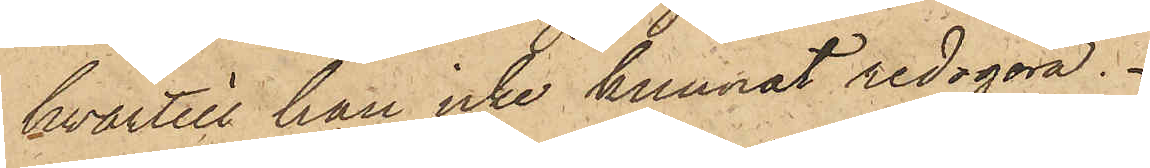hvartill han icke kunnat redogöra.
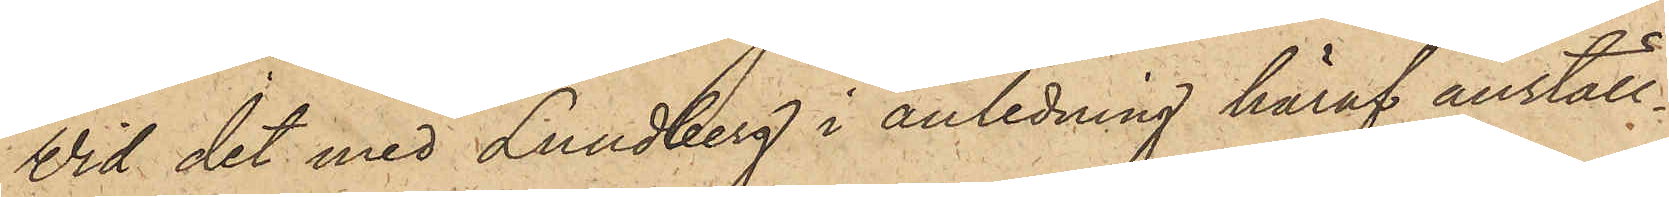Vid det med Lundberg i anledning häraf anställ¬
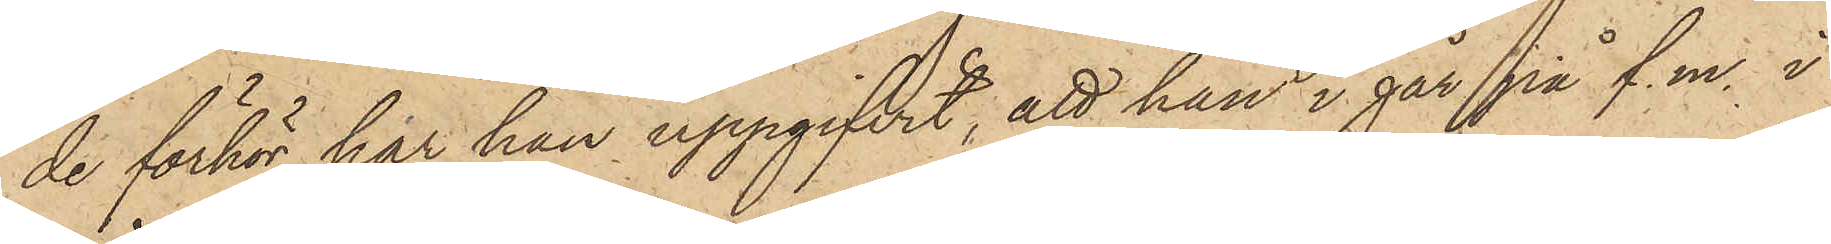de förhör har han uppgifvit, att han i går på f.m. i
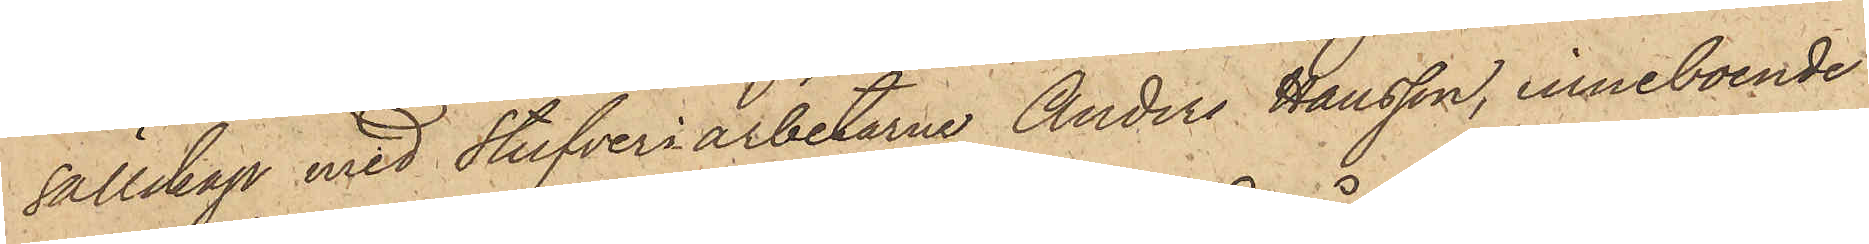sällskap med Stufveriarbetarne Anders Hansson, inneboende
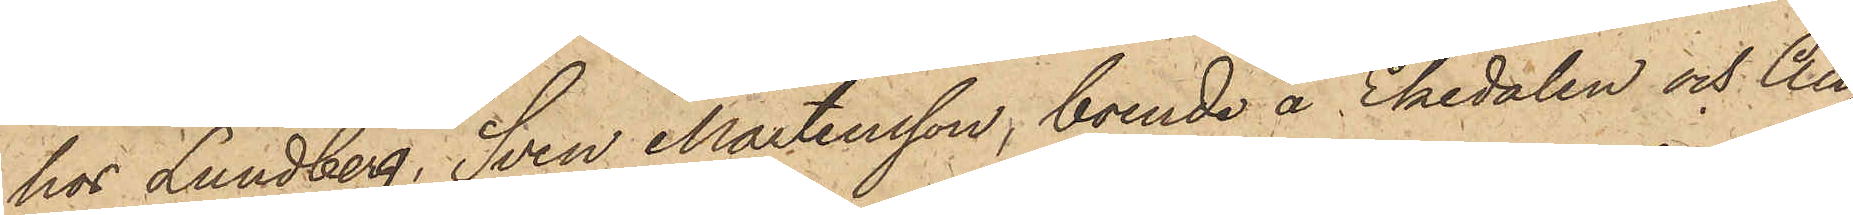hos Lundberg, Sven Mårtensson, boende å Ekedalen och Au¬
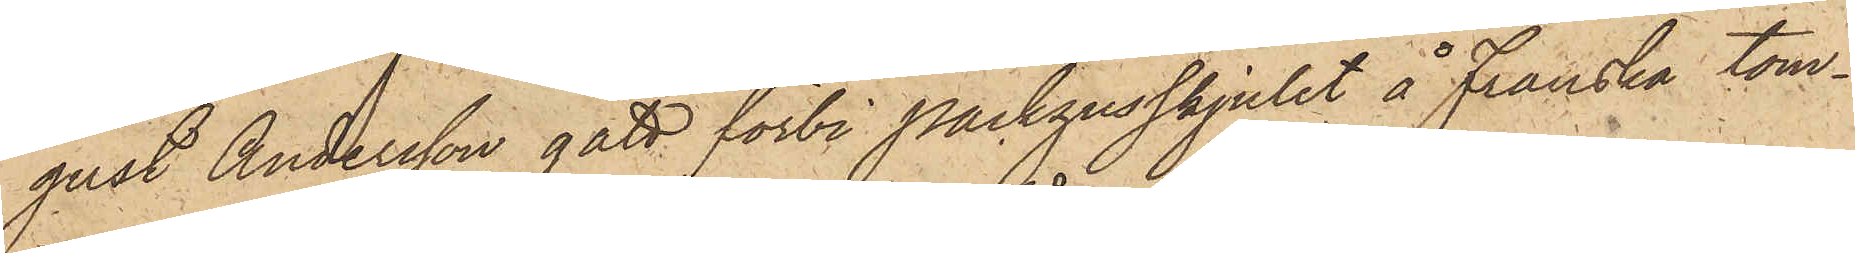gust Andersson gått förbi packhusskjulet å Franska tom¬
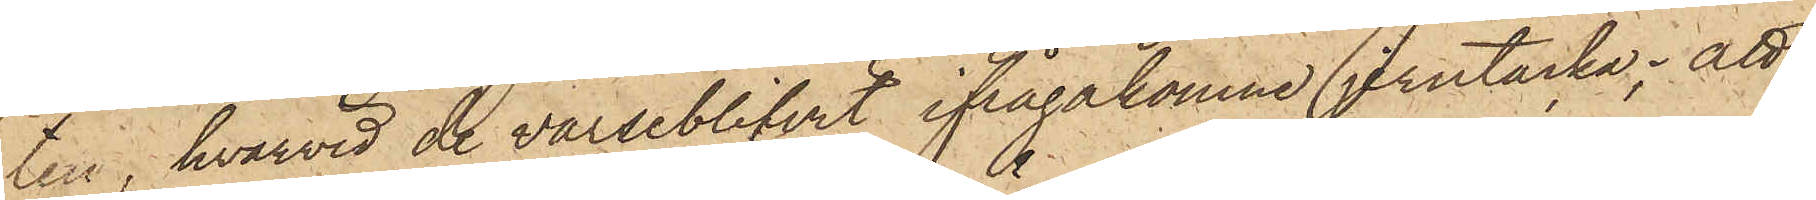ten, hvarvid de varseblifvit ifrågakomne jerntacka; att
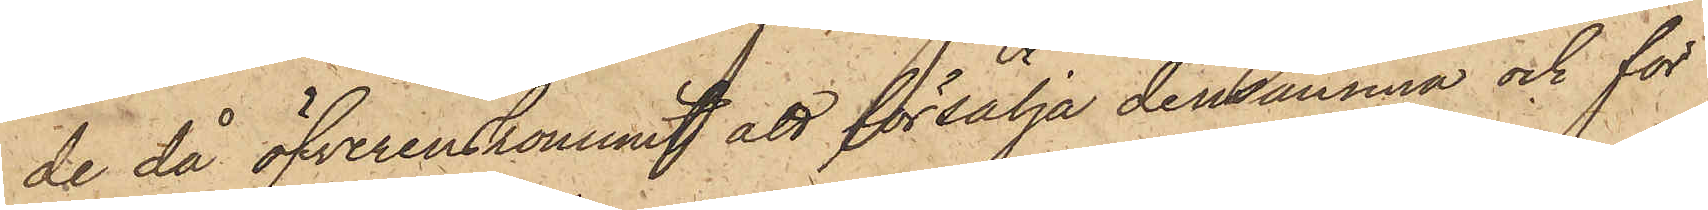de då öfverenskommit att försälja densamma och för
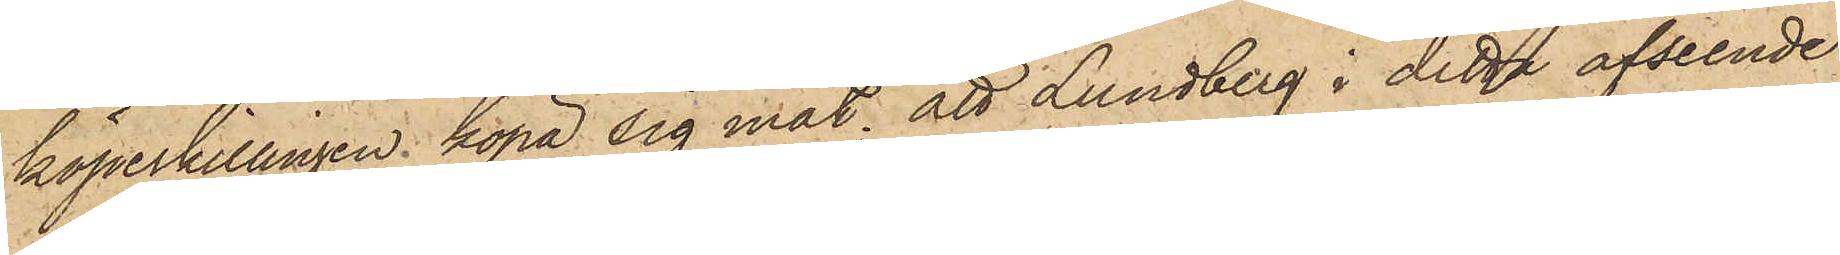köpeskillingen köpa sig mat; att Lundberg i detta afseende
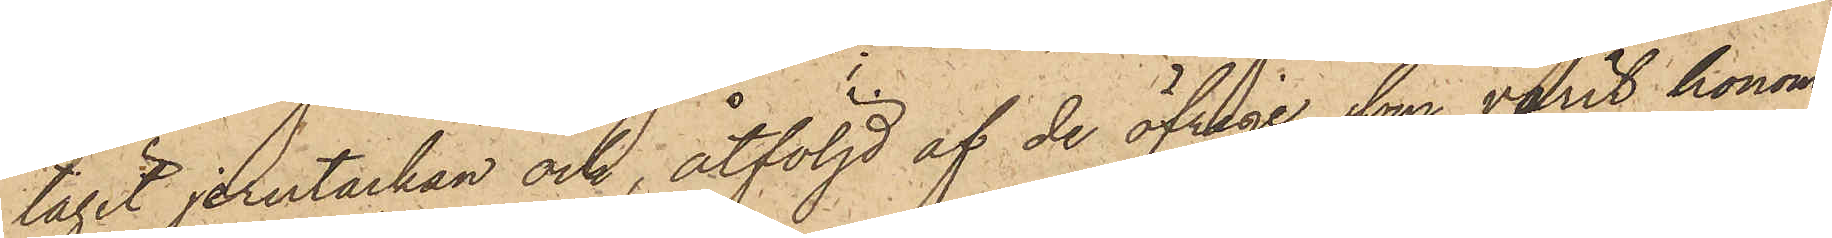tagit jerntackan och, åtföljd af de öfrige som varit honom
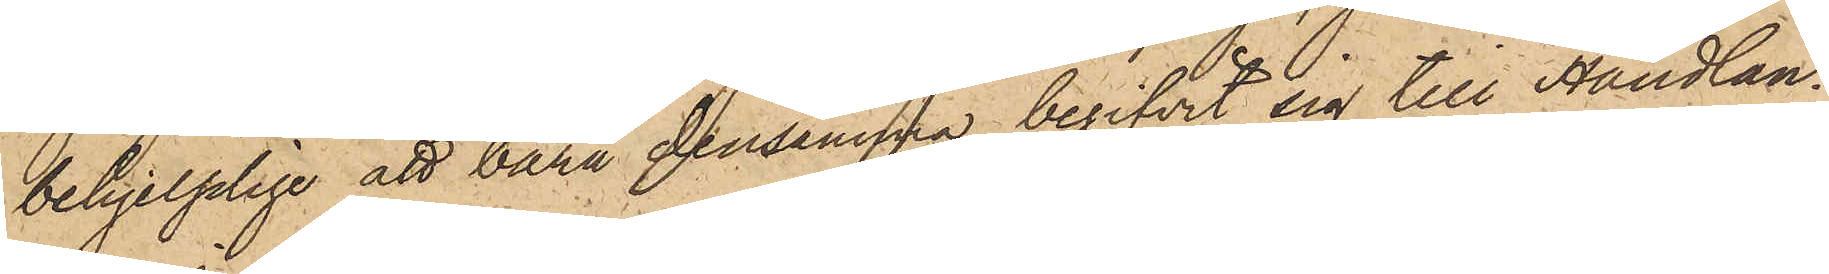behjelplige att bära densamma, begifvit sig till Handlan¬
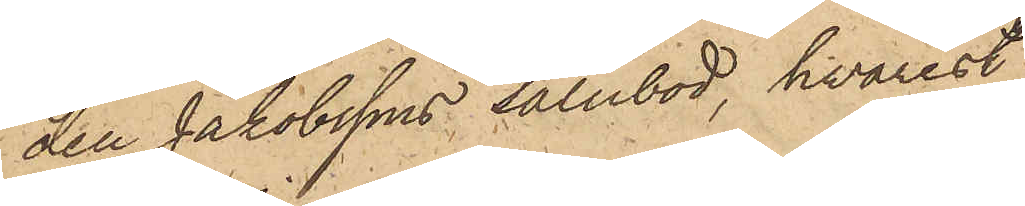den Jakobssons salubod, hvarest
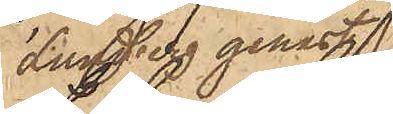Lundberg genast
